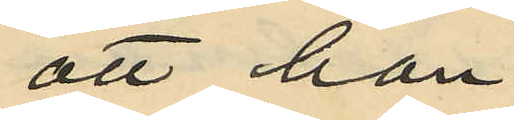att han
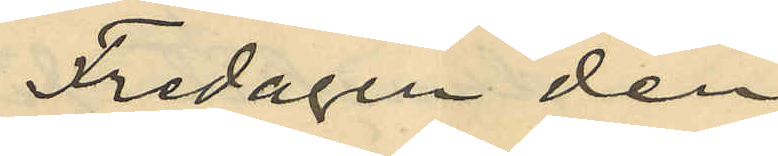Fredagen den
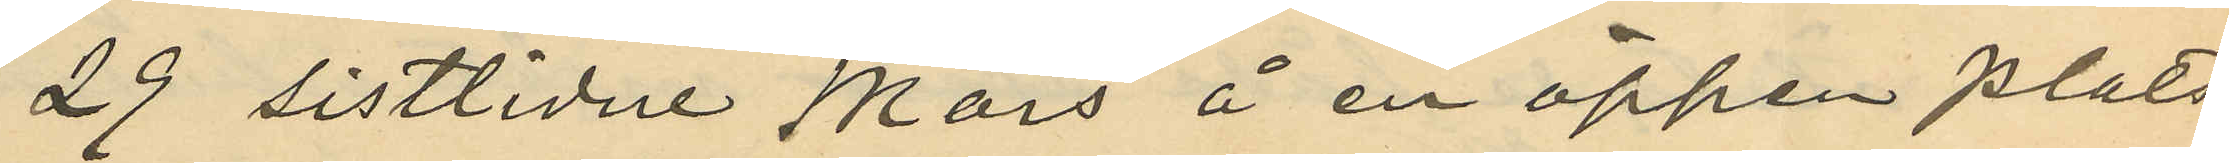29 sistlidne Mars å en öppen plats
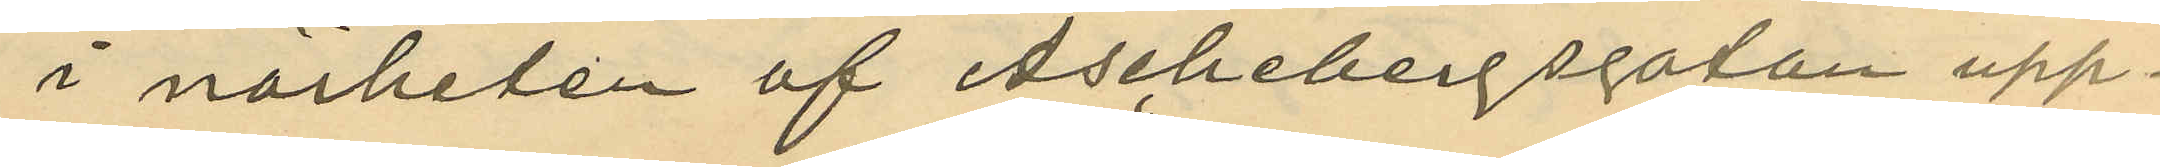i närheten af Aschebergsgatan upp¬
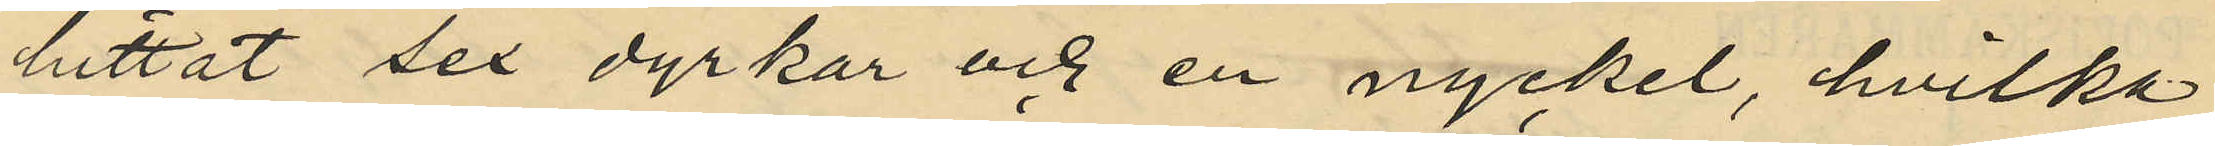hittat sex dyrkar och en nyckel, hvilka
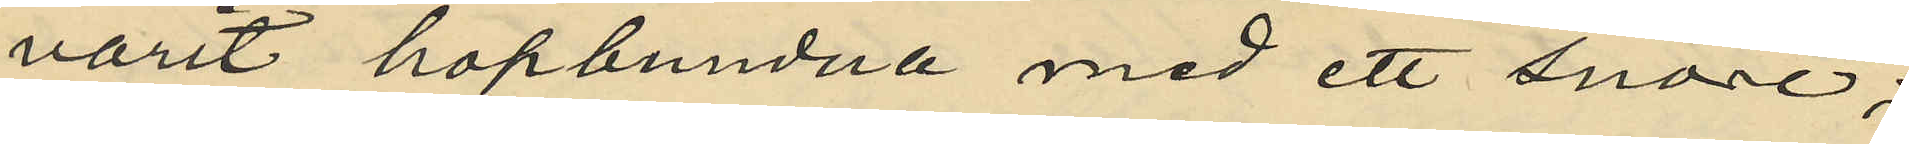varit hopbundna med ett snöre;
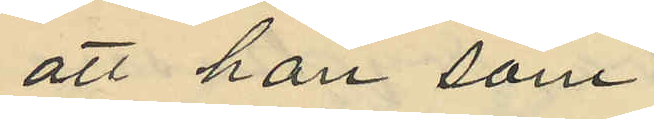att han som
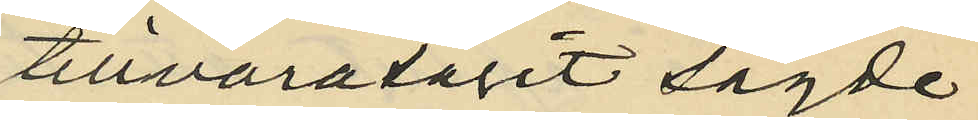tillvaratagit sagde
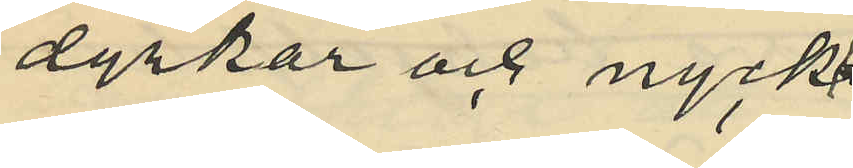dyrkar och nyck¬
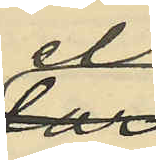el
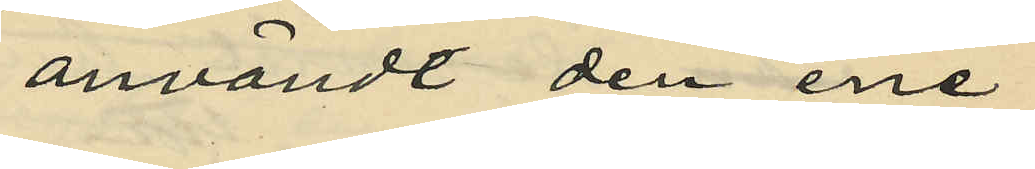användt den ene
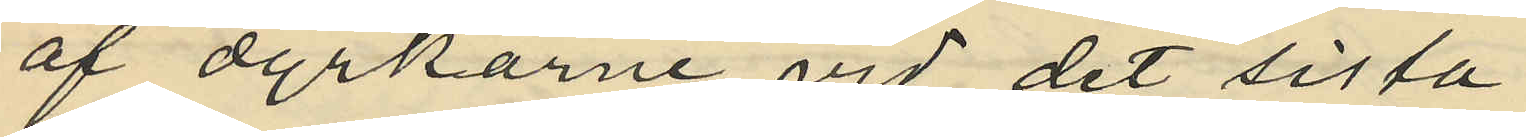af dyrkarne vid det sista
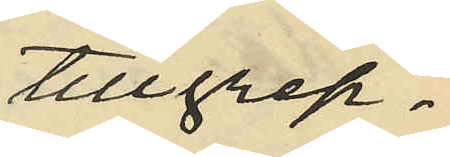tillgrep¬
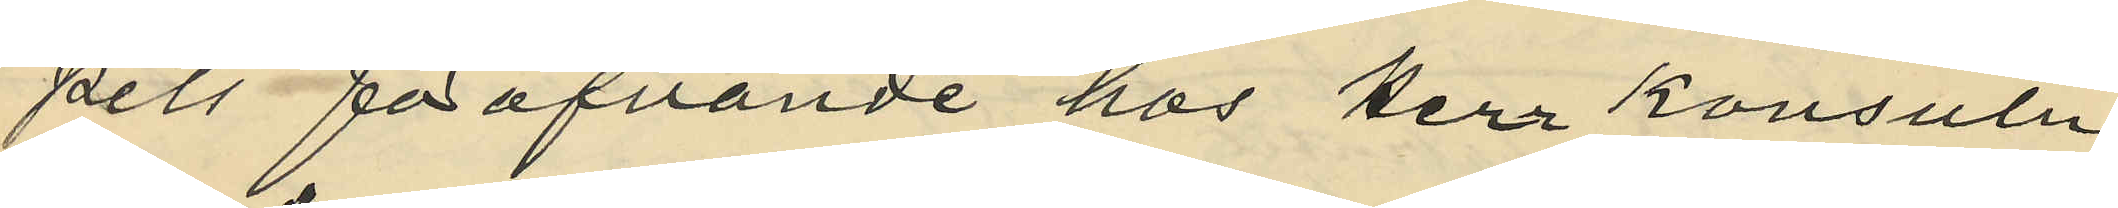pets föröfvande hos Herr Konsuln
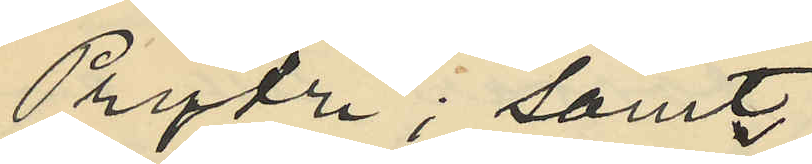Prytz; samt
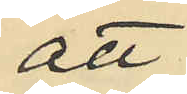att
